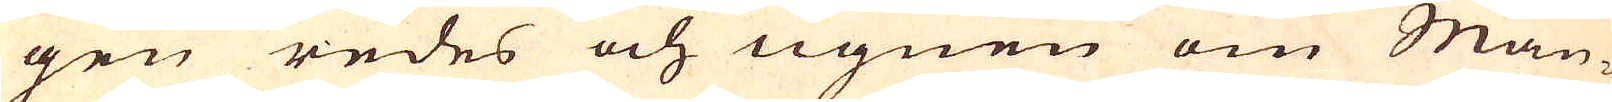gen redes och ugnen om Mån-
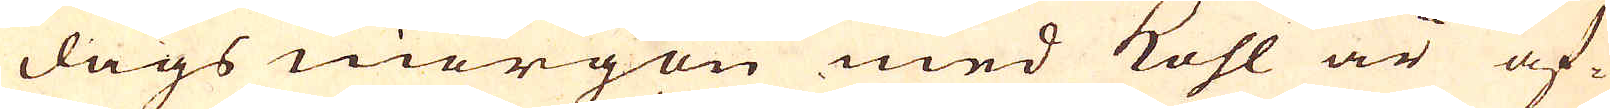dags morgon med kohl är af-
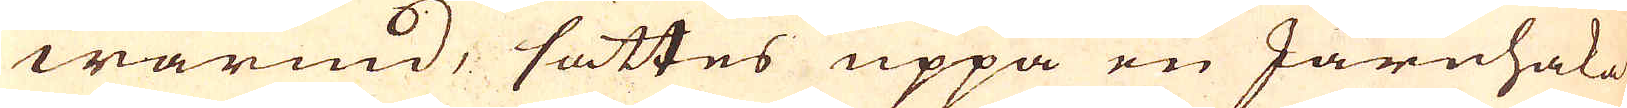wärmd, sättes uppå en Järnhaka
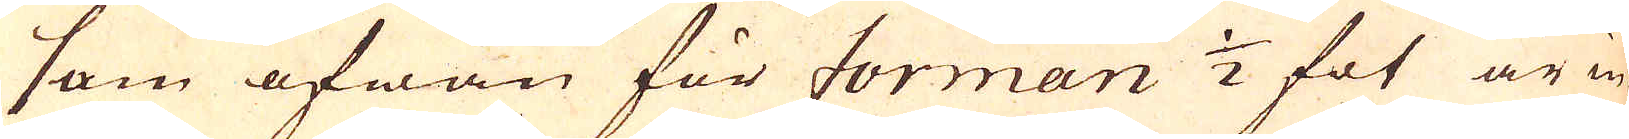som ofwan för forman 1/2 fot är in-
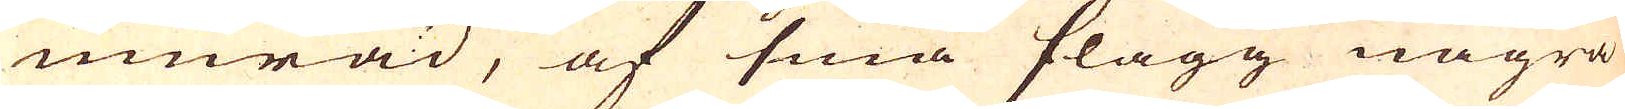murad, af små slagg några
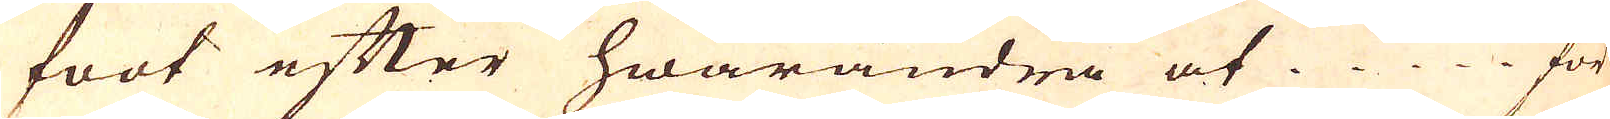foot efter hwarandra at ..... för
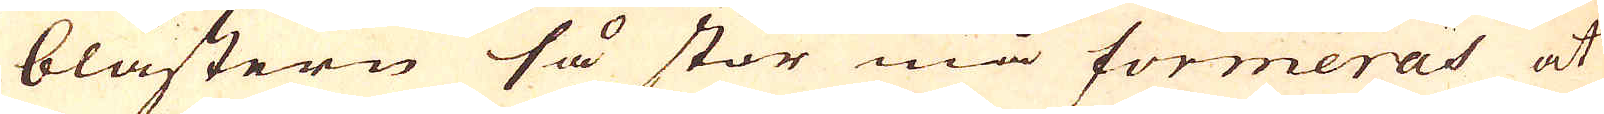blästern så stor må förmeras at
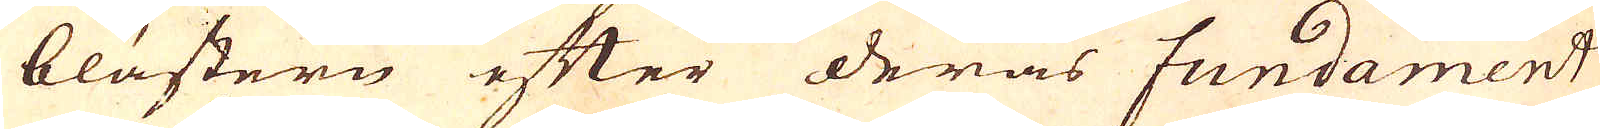blästern efter deras fundament
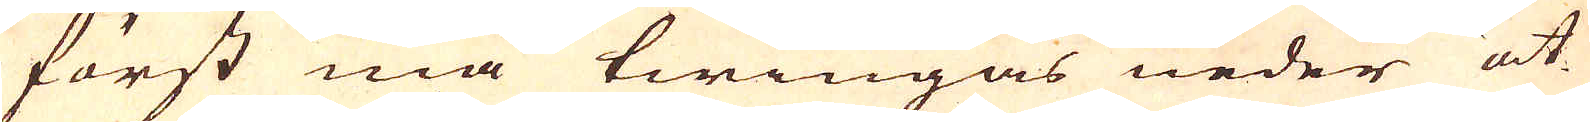först må twingas neder åt
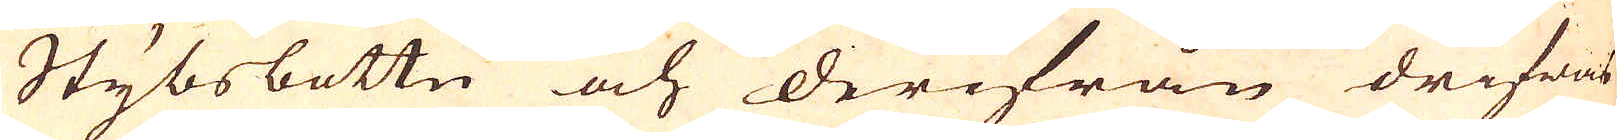Stybsbottn och derifrån drifwas
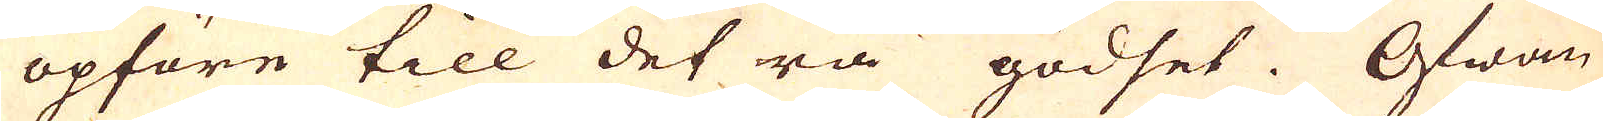opföre till det rå godset. Ofwan
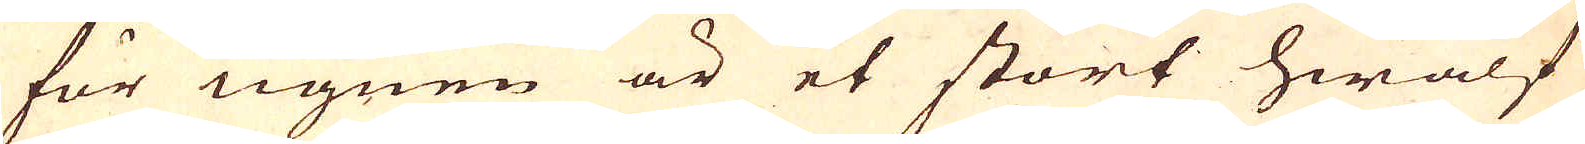för ugnen är et stort hwalf
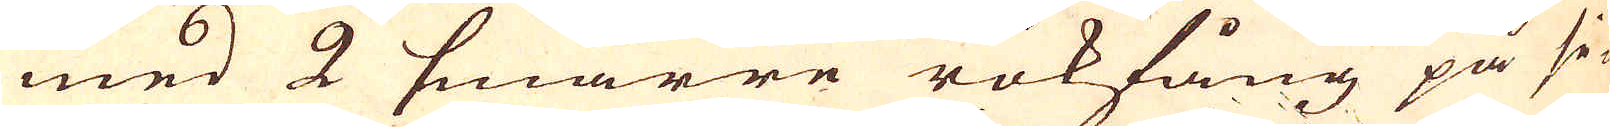med 2 smärre rökfång på si-
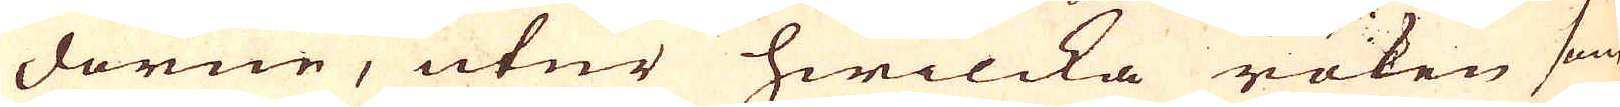dorne, utur hwilcka röken som
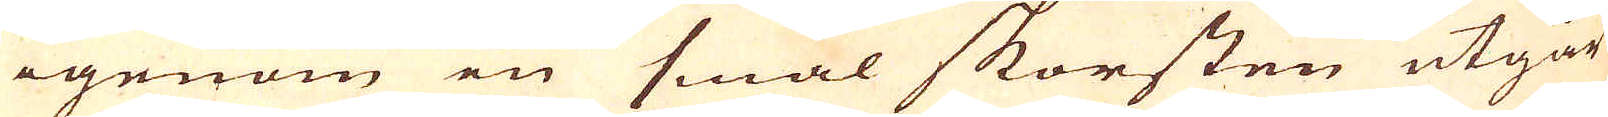igenom en smal skorsten utgår
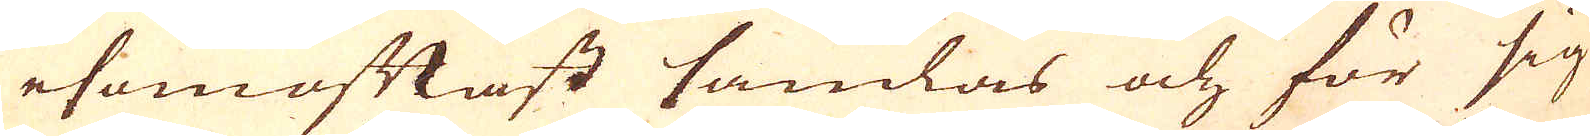esomoftast samlas och för sig
